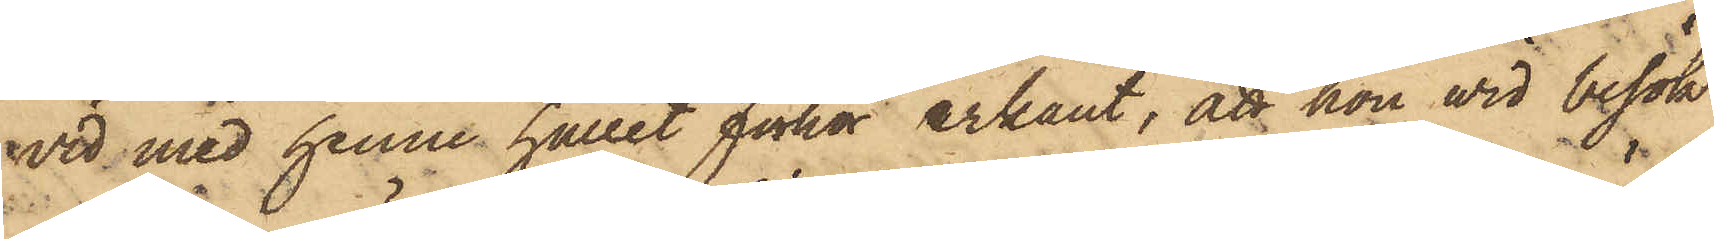wid med henne hållet förhör erkänt, att hon wid besök
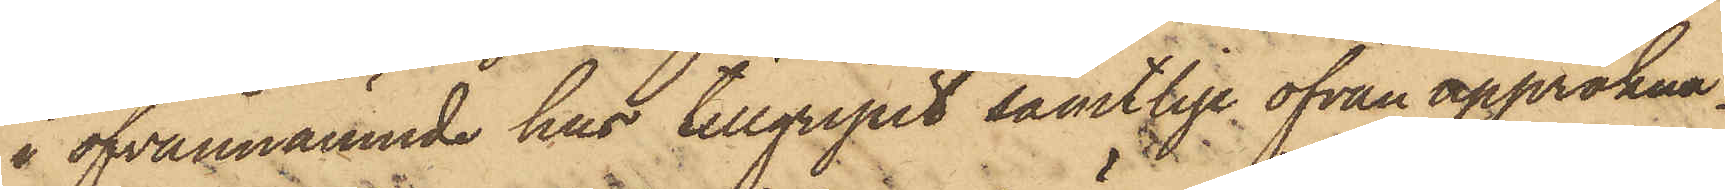i ofvannämnde hus tillgripit samtlige ofvan uppräkna¬
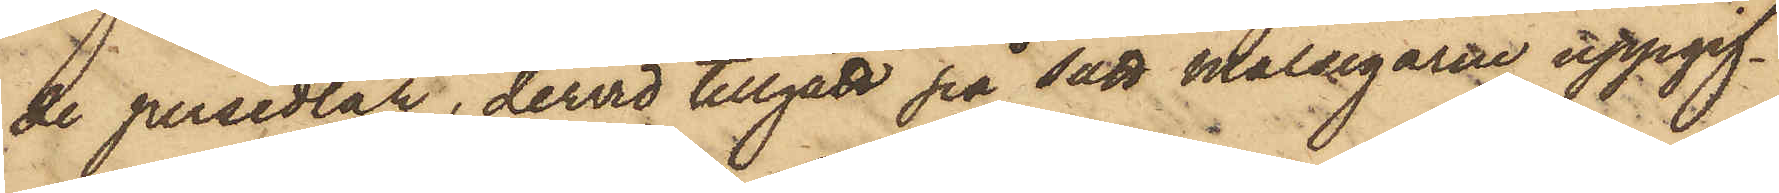de persedlar, dervid tillgått på sätt Målsegarne uppgif¬
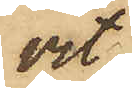vit,
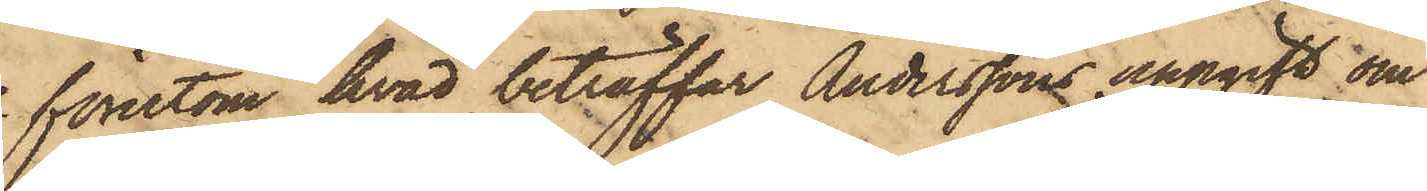förutom hvad beträffar Anderssons uppgift om
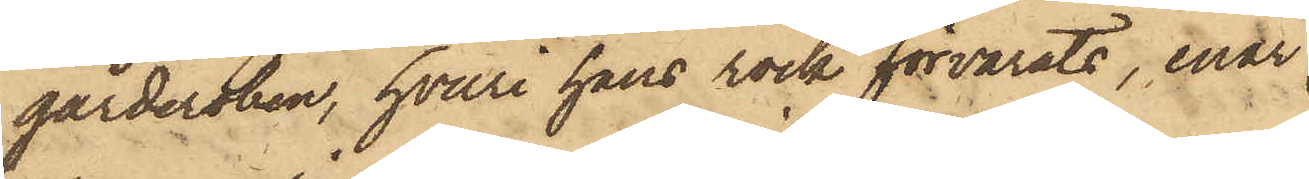garderoben, hvari hans rock förvarats, enär
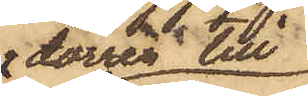dörren till
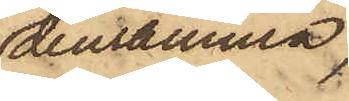densamma,
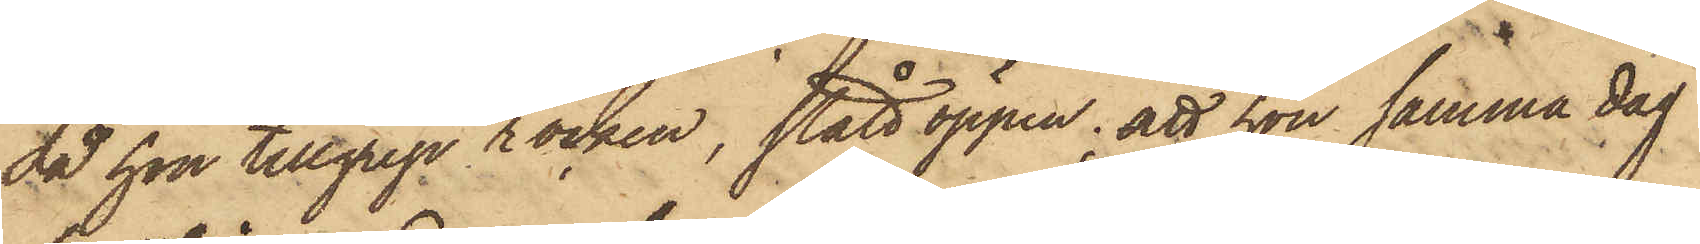då hon tillgrep rocken, stått öppen; att hon samma dag
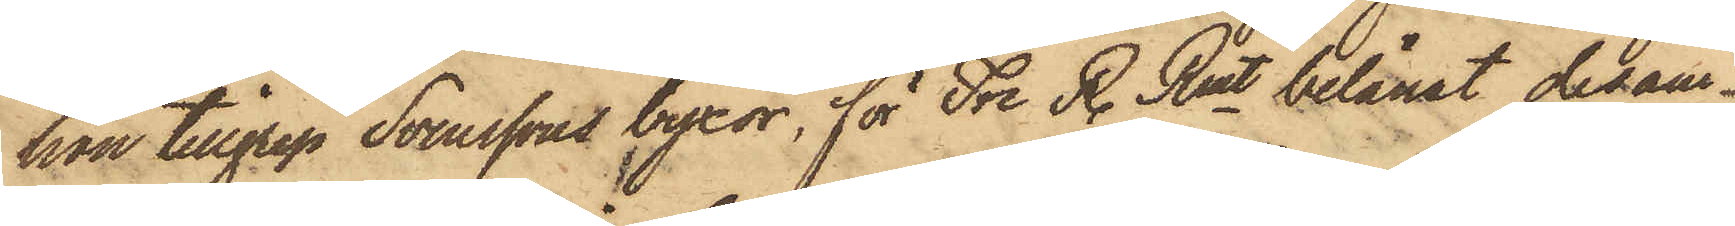han tillgrep Svenssons byxor, för Tre R. Rmt belånat desam¬
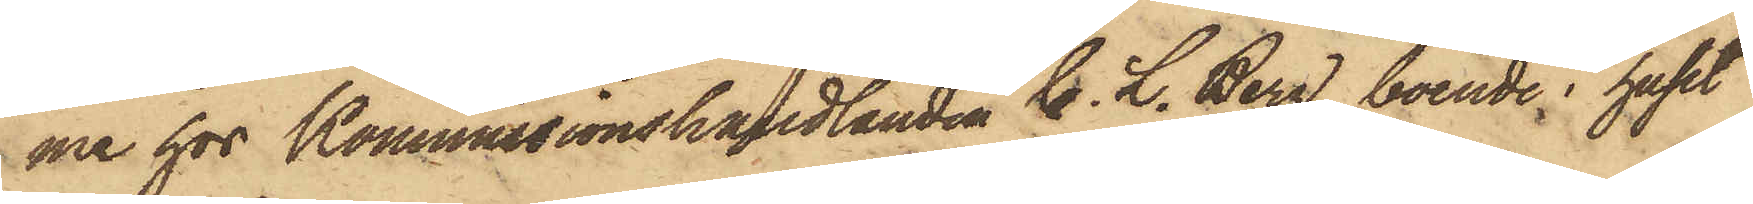me hos Kommissionshandlanden C. L. Berg, boende i huset
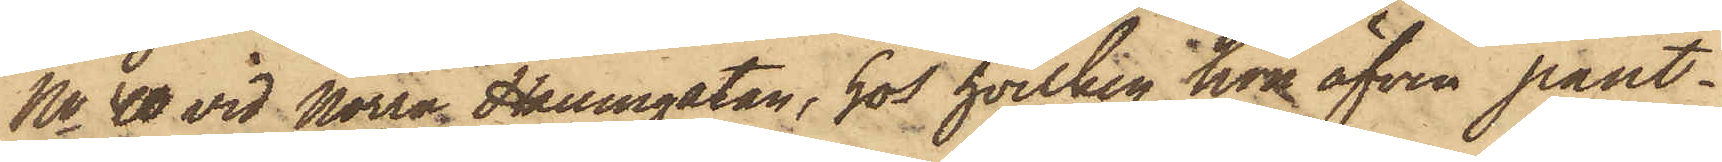No 40 vid Norra Hamngatan, hos hvilken hon äfven pant¬
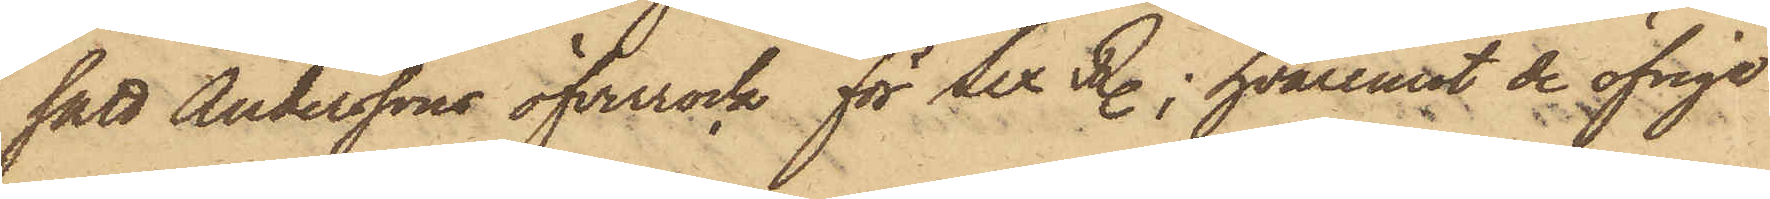satt Anderssons öfverrock för Sex R.; hvaremot de öfriga
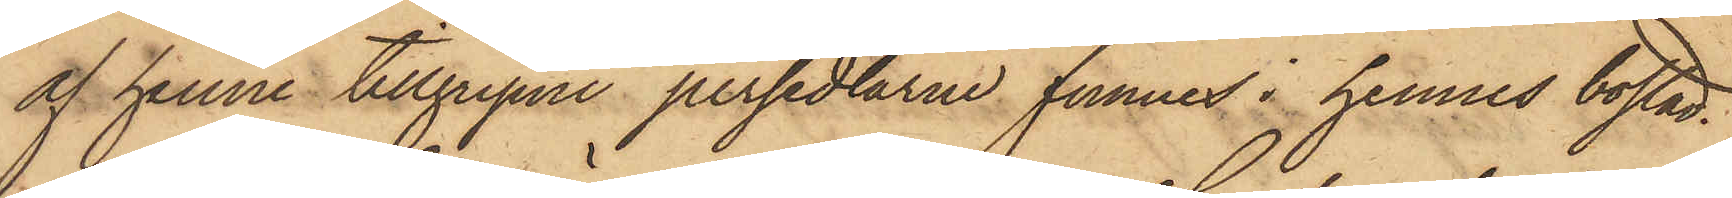af henne tillgripne persedlarne funnes i hennes bostad.
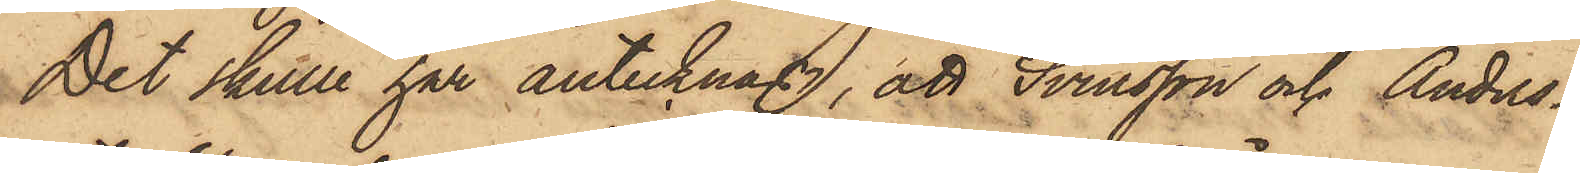Det skulle här antecknas, att Svensson och Anders¬
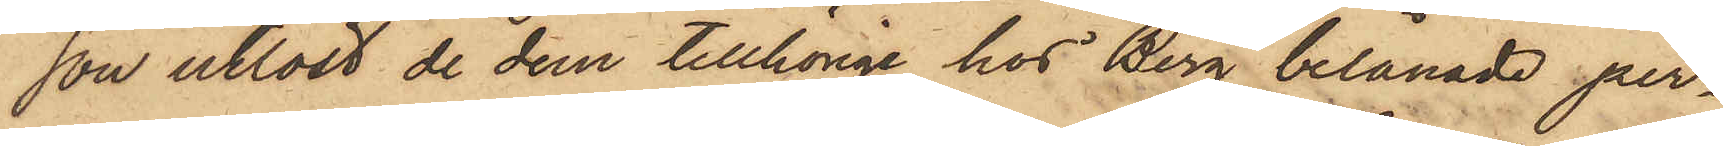son utlöst de dem tillhörige hos Berg belånade per¬
